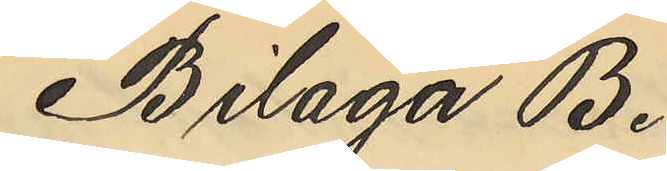Bilaga B.
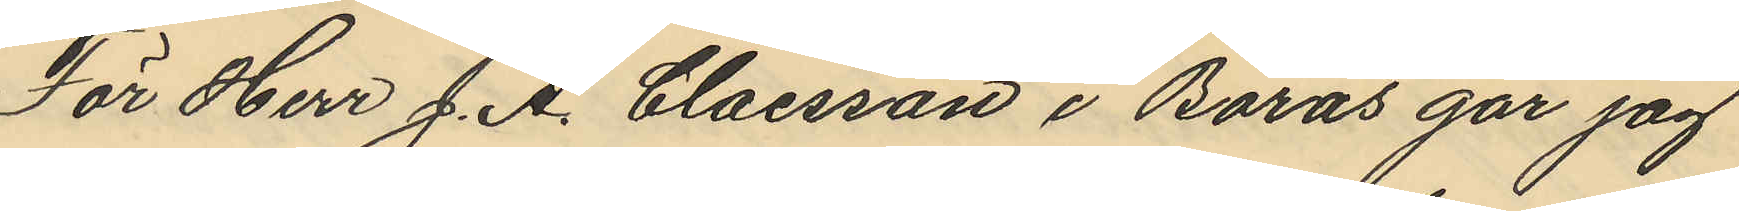För Herr J. A. Claesson i Borås går jag
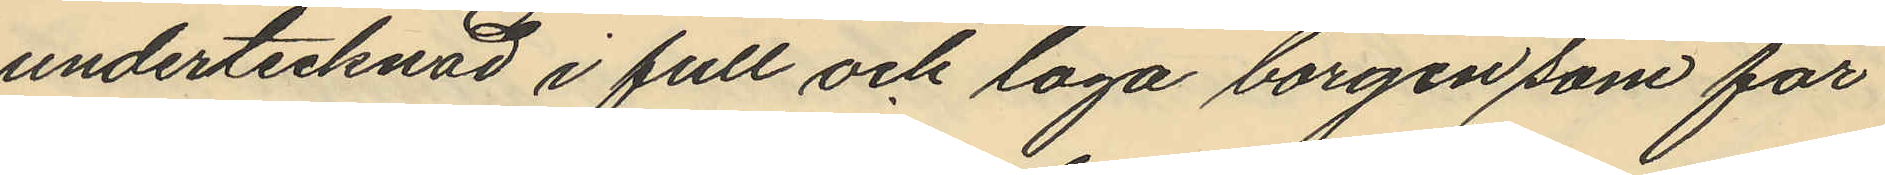undertecknad i full och laga borgen som för
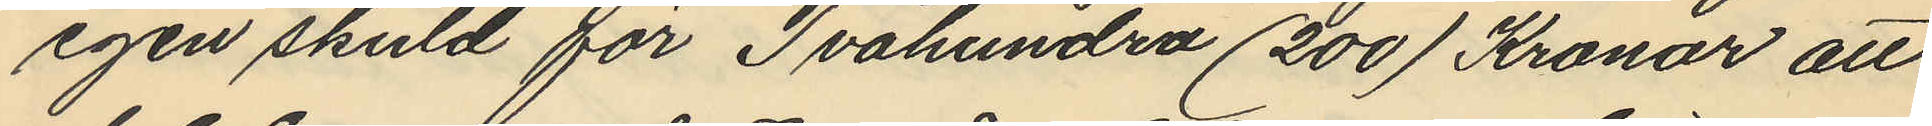egen skuld för Tvåhundra (200) Kronor att
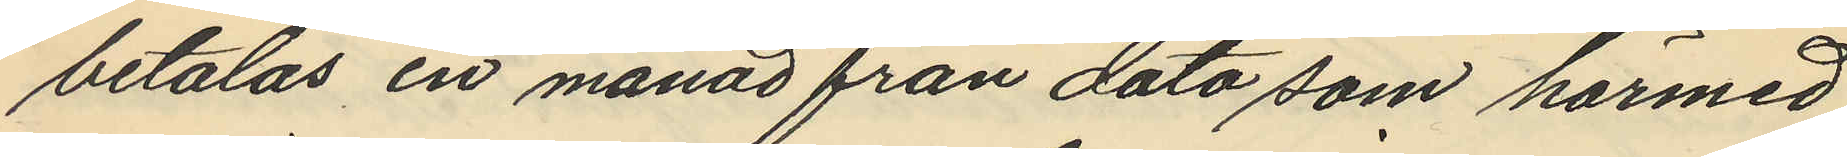betalas en månad från dato som härmed
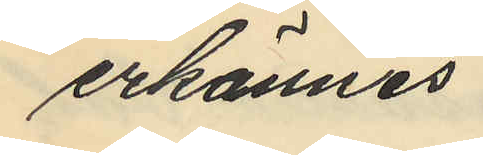erkännes.
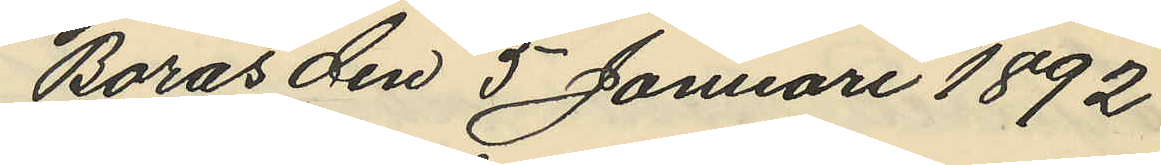Borås den 5 Januari 1892
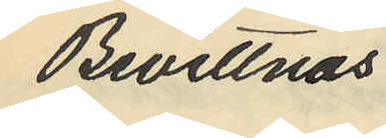Bevittnas
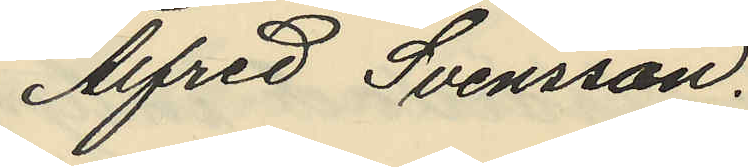Alfred Svensson.
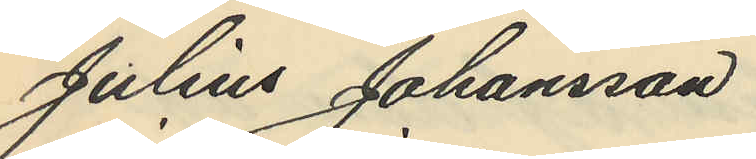Julius Johansson
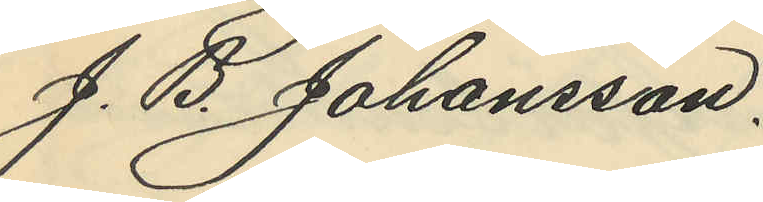J. B. Johansson,
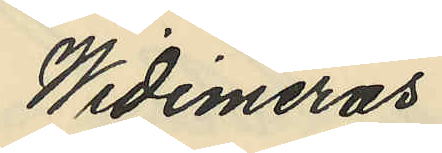Widimeras
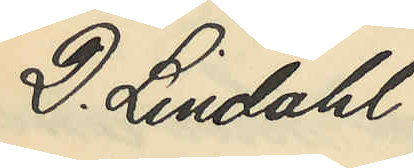D. Lindahl
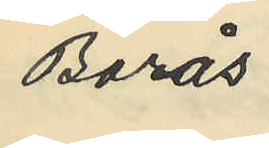Borås
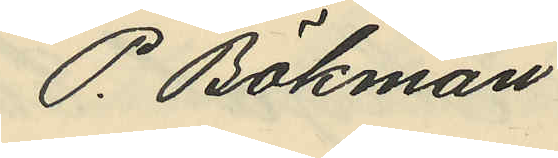P. Bökman
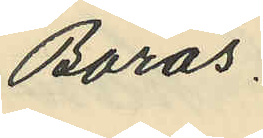Borås.
